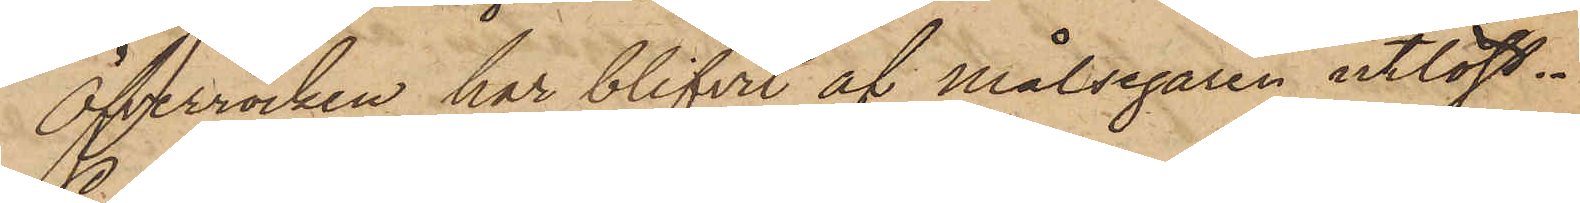Öfverrocken har blifvit af Målsegaren utlöst.
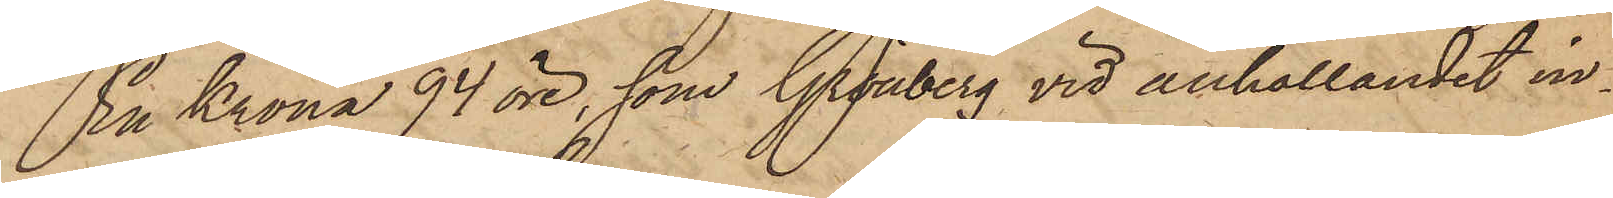En Krona 94 öre, som Grönberg vid anhållandet in¬
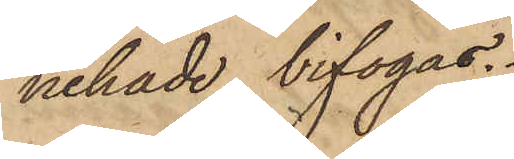nehade bifogas.
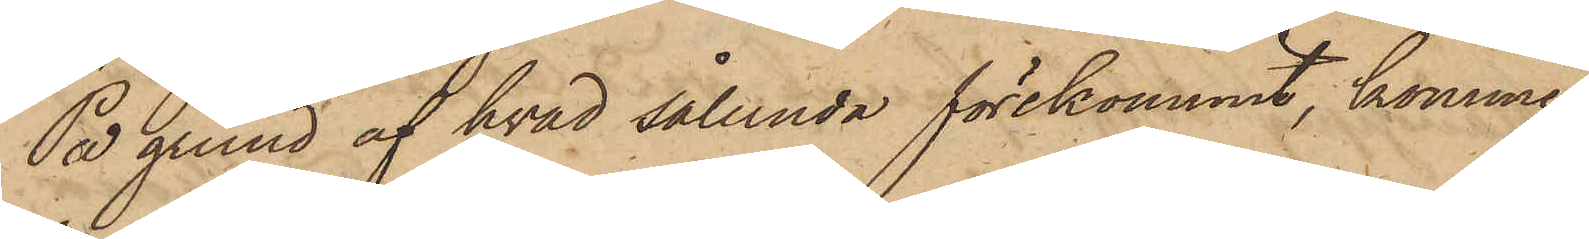På grund af hvad sålunda förekommit, kommer
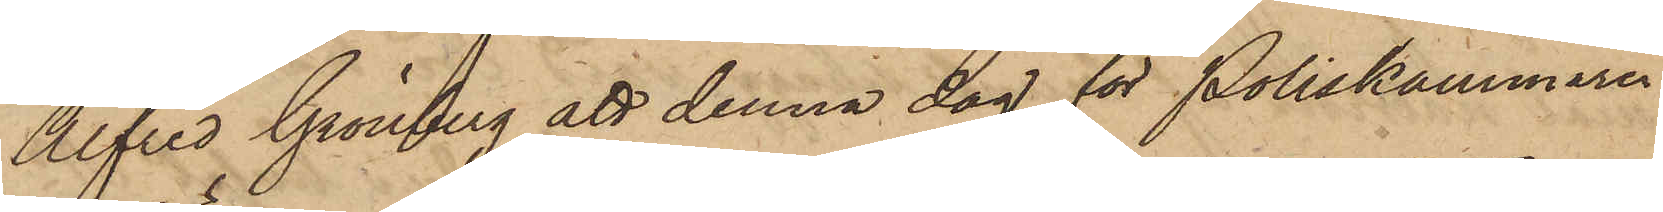Alfred Grönberg att denna dag för Poliskammaren
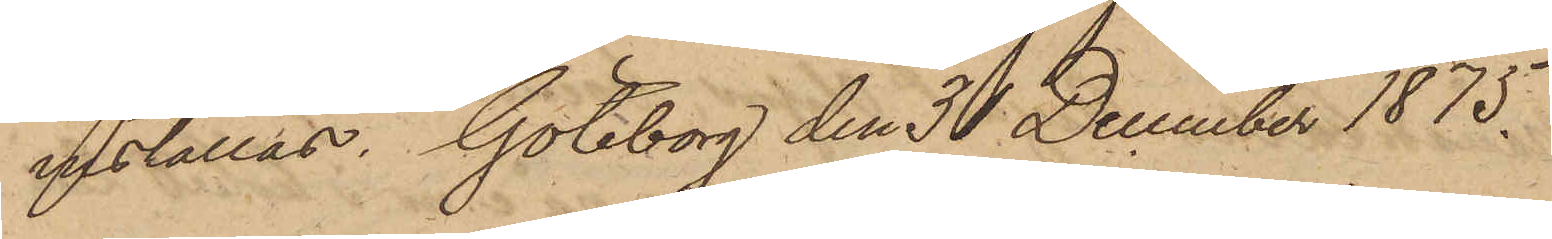inställas. Göteborg den 31 December 1875.
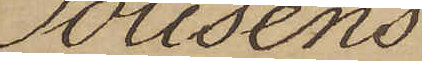Polisens
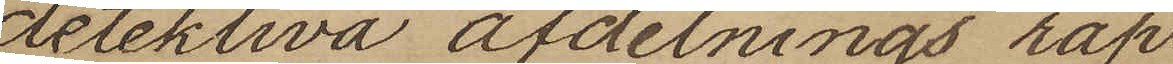detektiva afdelnings rap¬
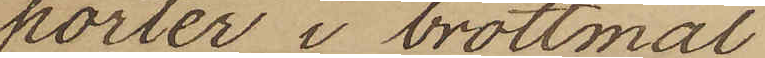porter i brottmål
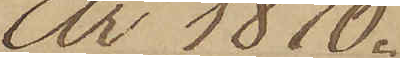År 1876.
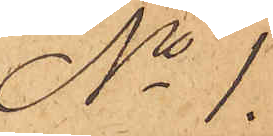No 1
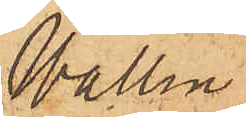Wallin
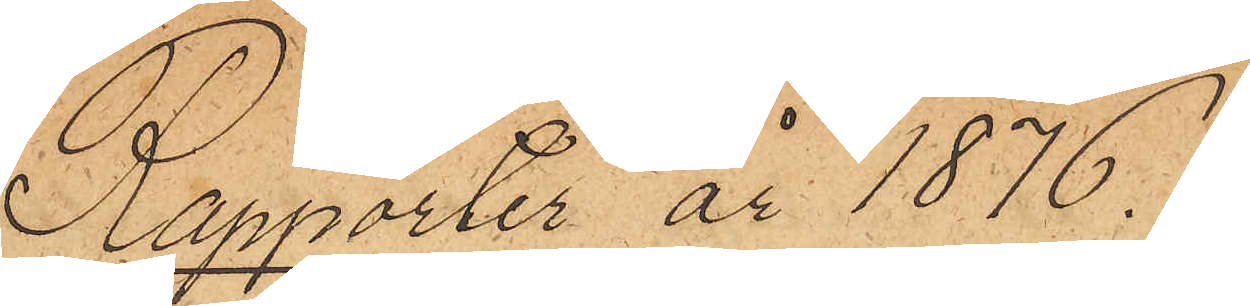Rapporter år 1876.
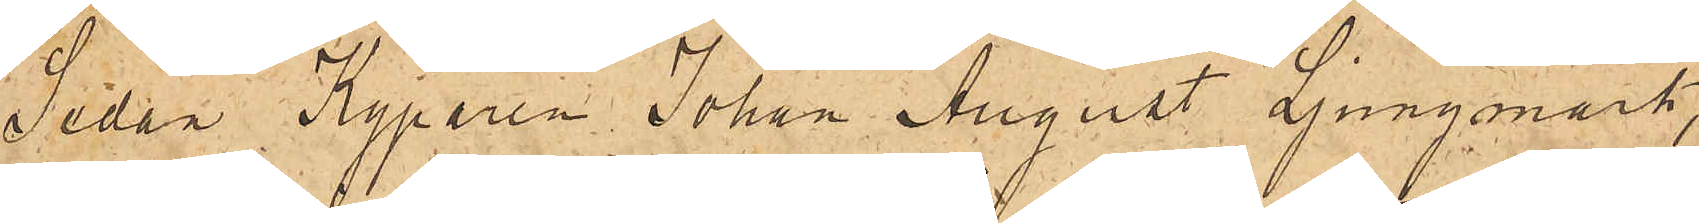Sedan Kyparen Johan August Ljungmark,
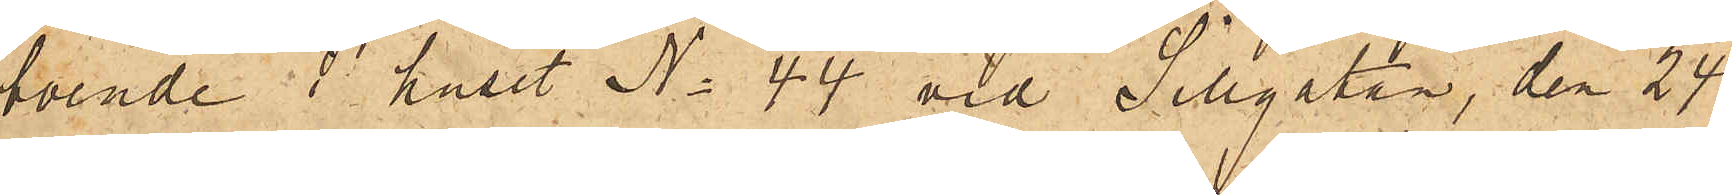boende i huset No 44 vid Sillgatan, den 24
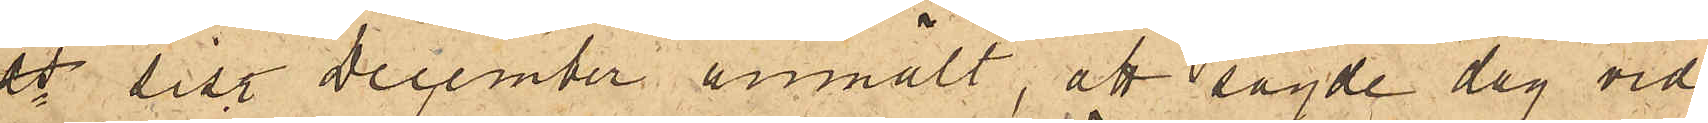ds sist. December anmält, att sagde dag vid
